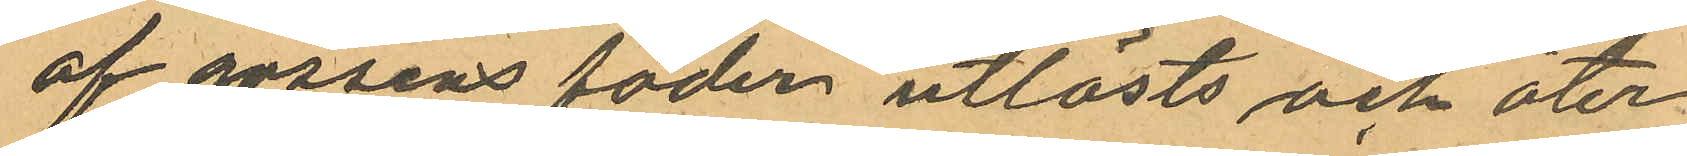af gossens fader utlösts och åter
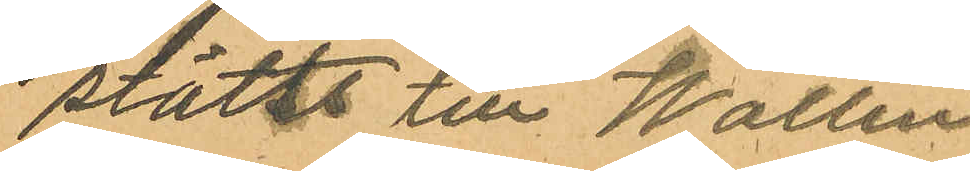ställs till Wallin
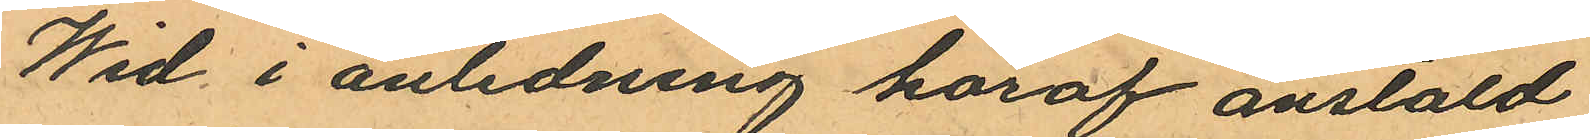Wid i anledning häraf anstäld
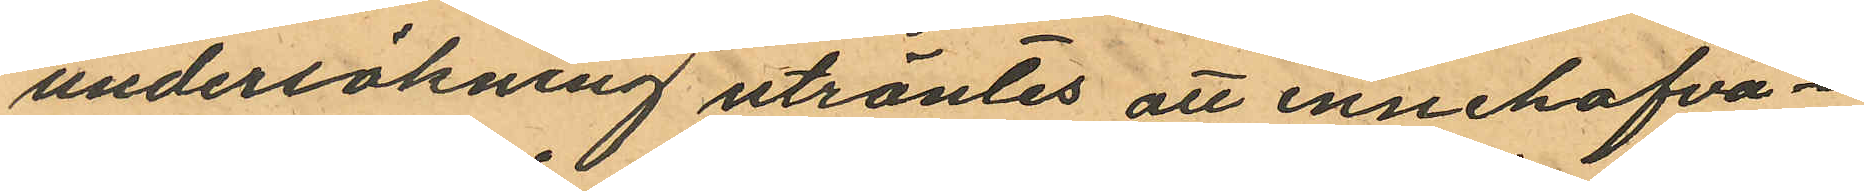undersökning utröntes att innehafva¬
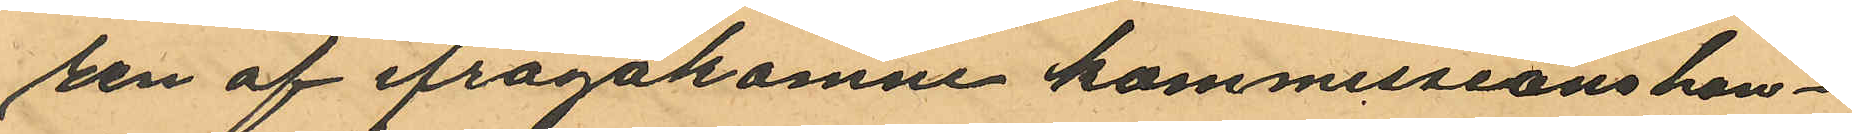ren af ifrågakomne kommissionshan¬
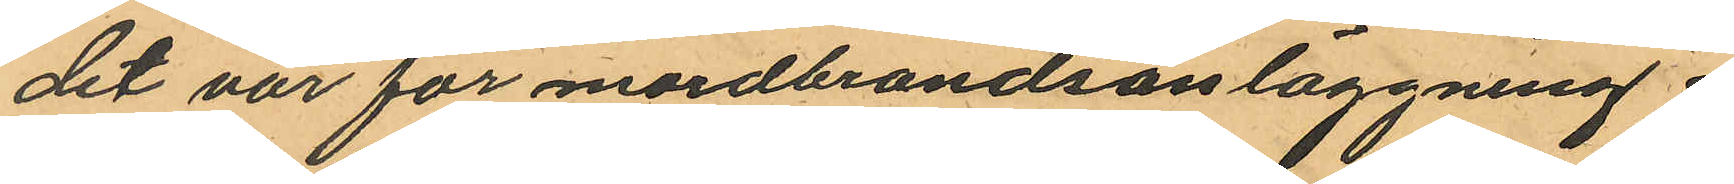de var för mordbrandsanläggning i
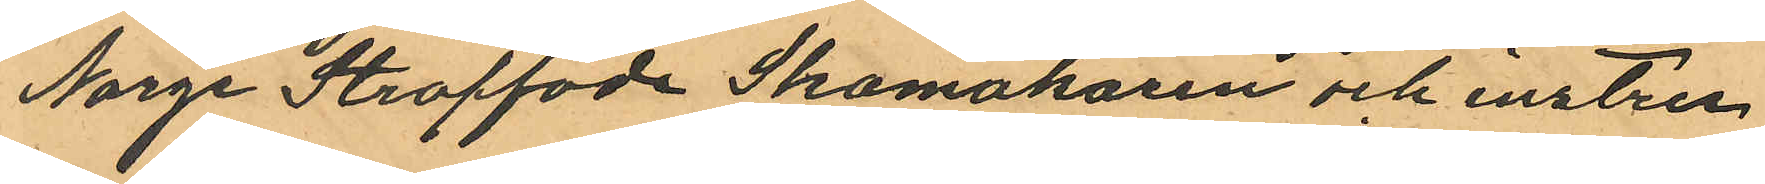Norge straffade Skomakaren och instru¬
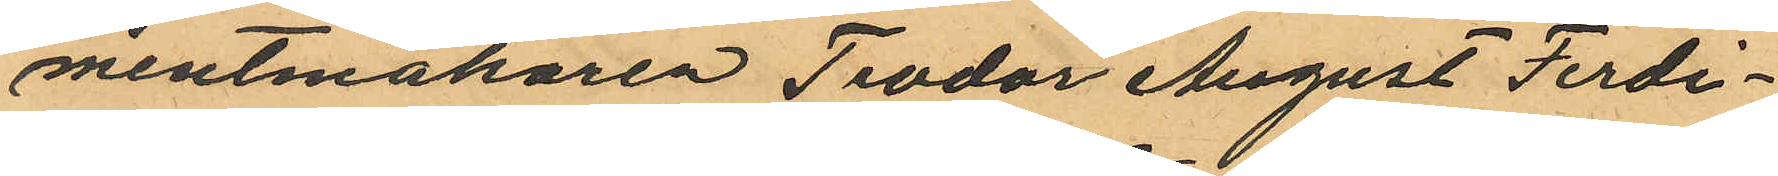mentmakaren Teodor August Ferdi¬
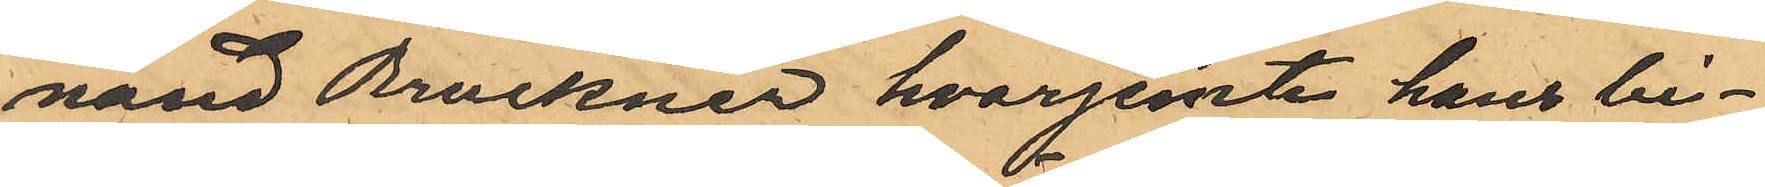nand Bruckner hvarjemte hans bi¬
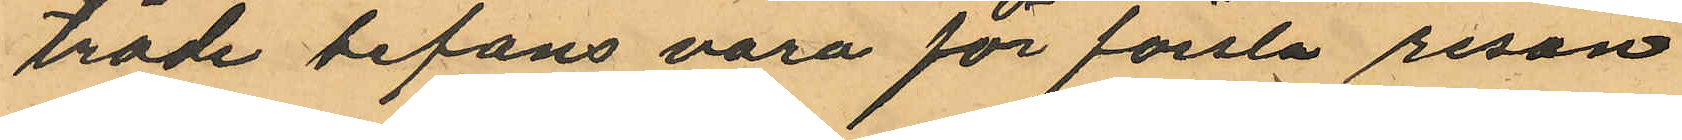träde befans vara för första resan
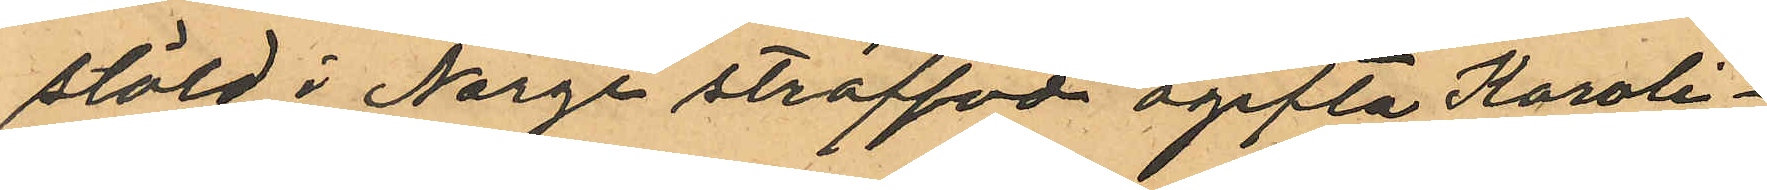stöld i Norge straffade ogifta Karoli¬
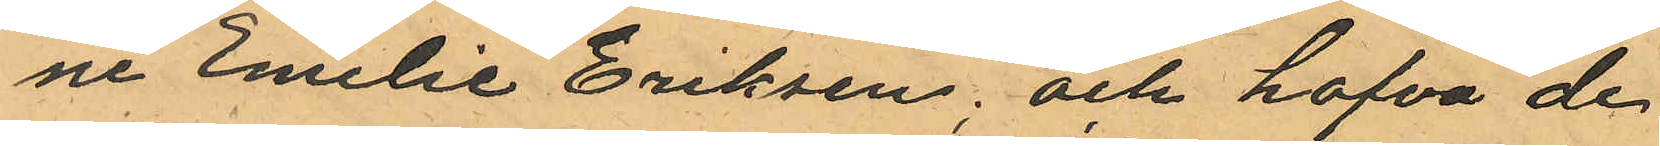ne Emelie Eriksen; och hafva de
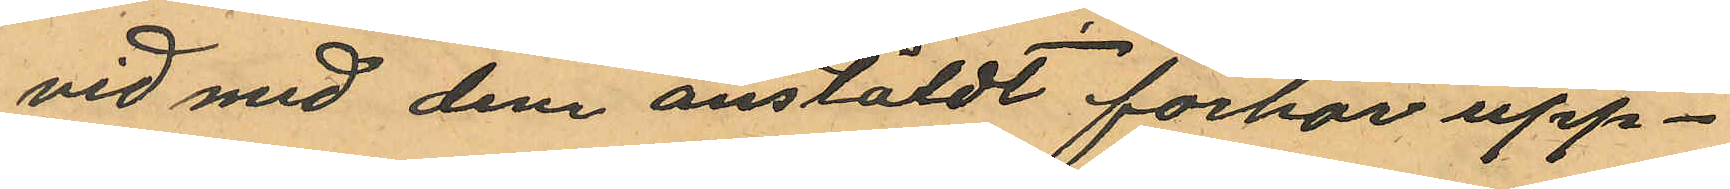vid med dem anstäldt förhör upp¬
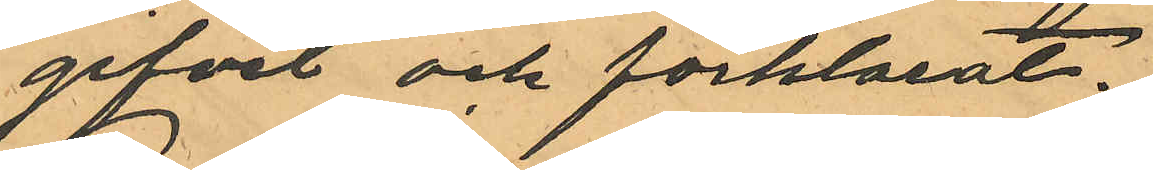gifvit och förklarat.
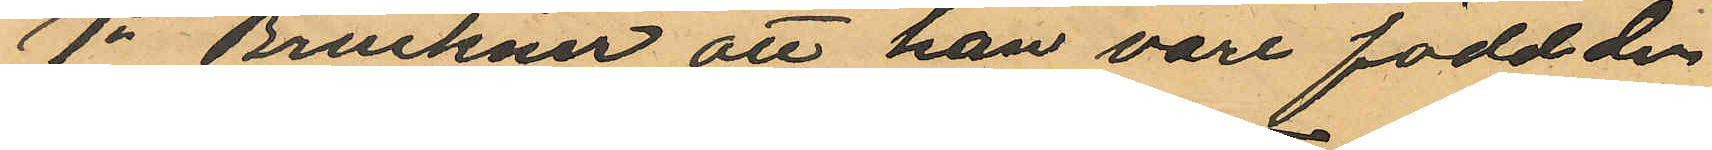1o Bruckner att han vore född den
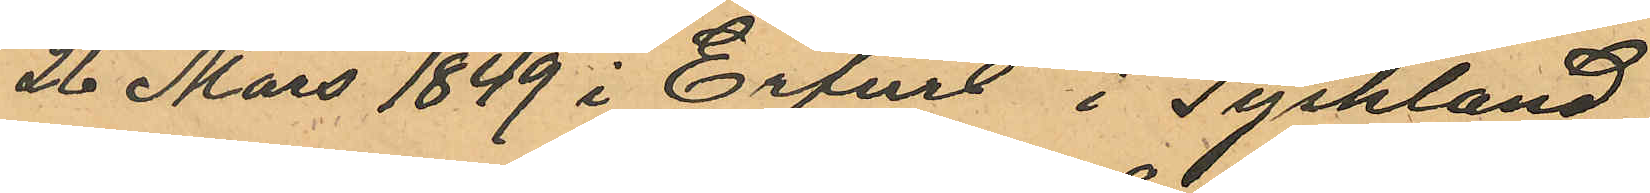26 Mars 1849 i Erfurt i Tyskland,
